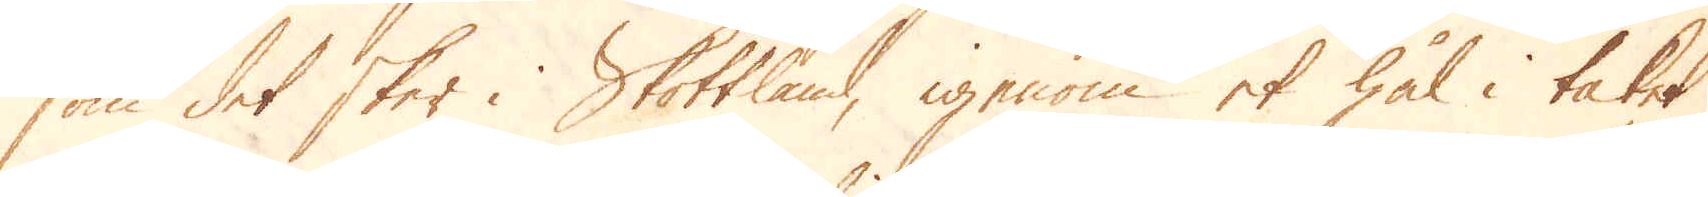som det sker i Skottland, igenom et hål i taket
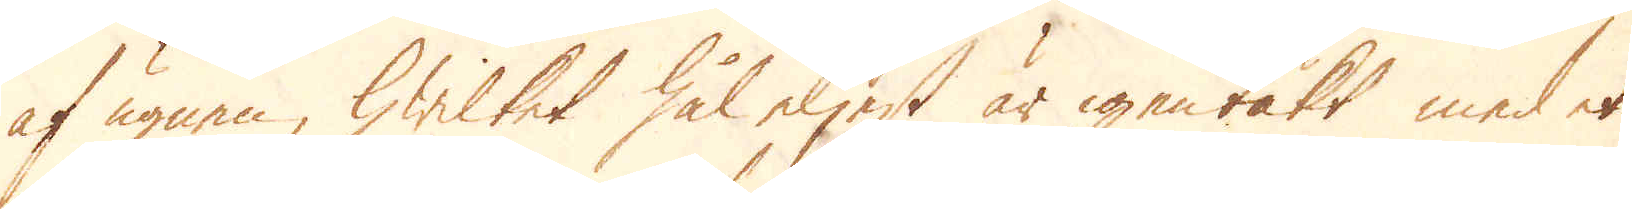af ugnen, hwilket hål eljest är igentäkt med et
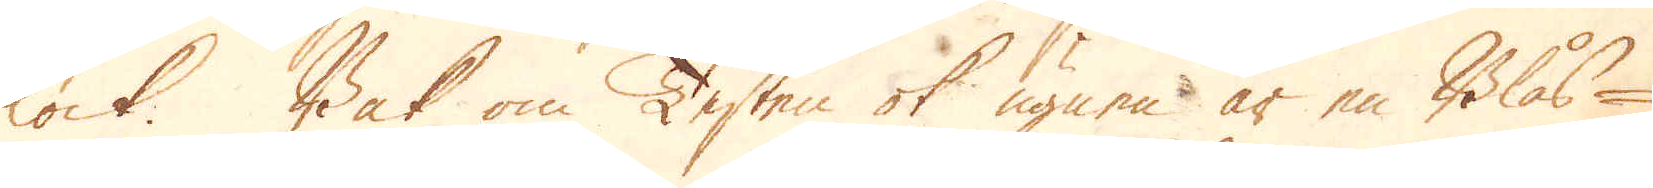lock. Bak om Testen ok ugnen är en Blås-
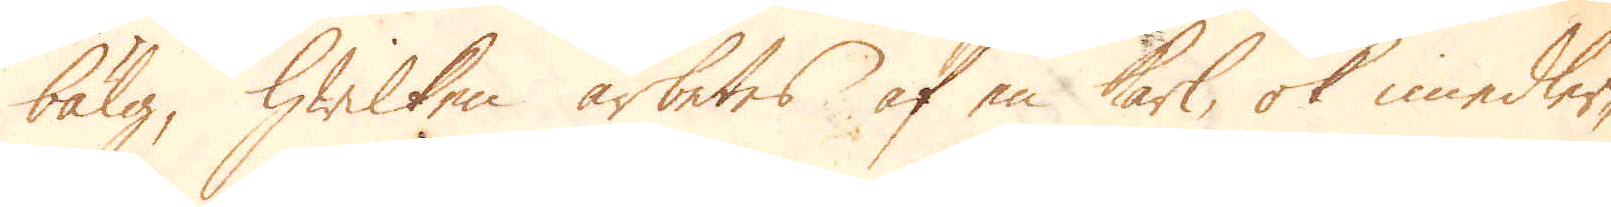bälg, hwilken arbetes af en karl, ok imedler-
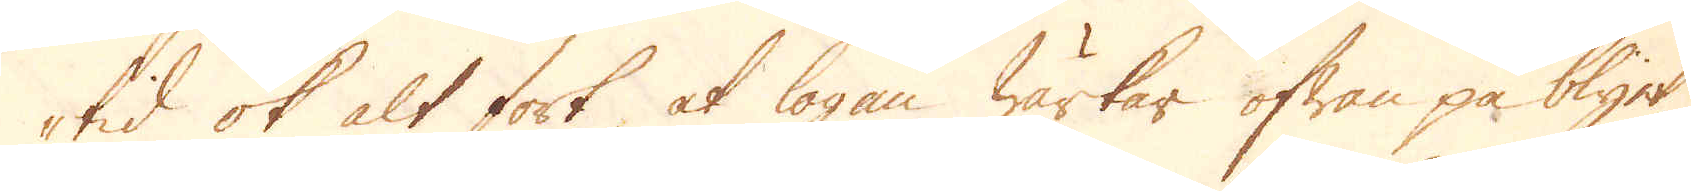tid ok alt fort at logan wärkar ofwan på blyet,
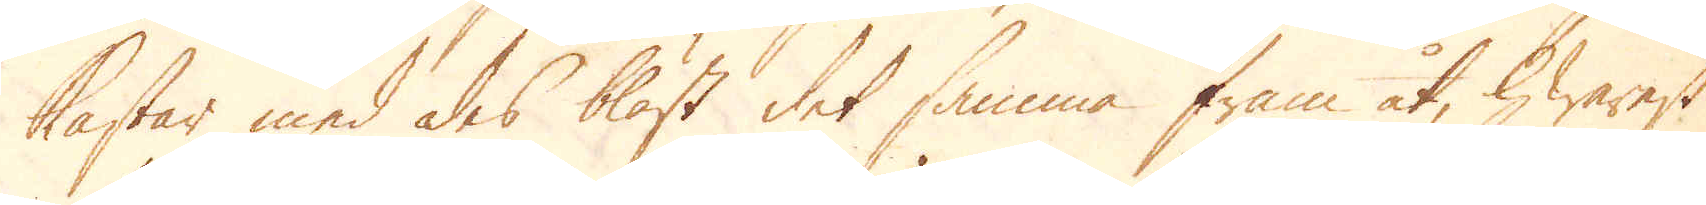kastar med des bläst det samma fram åt, hwarest
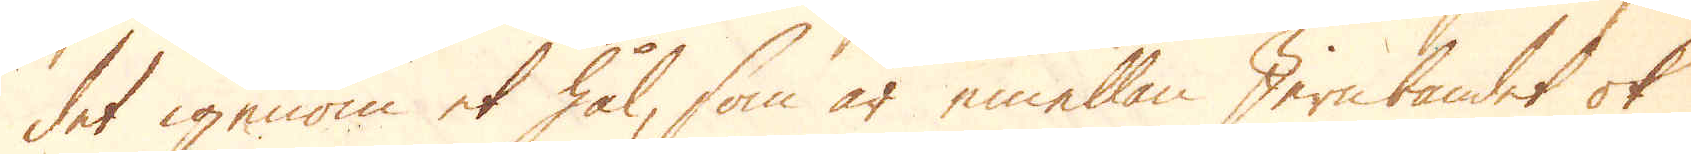det igenom et hål, som är emellan Jern bandet ok
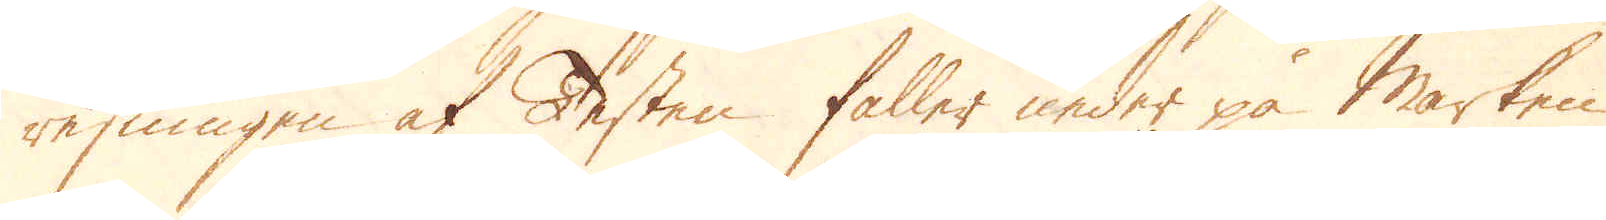resningen af Testen faller under på marken
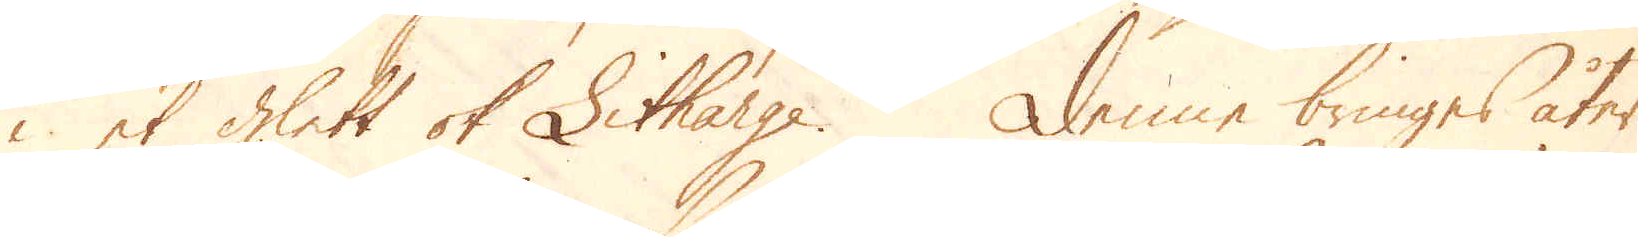i et glett ok Litharge. Denne bringas åter
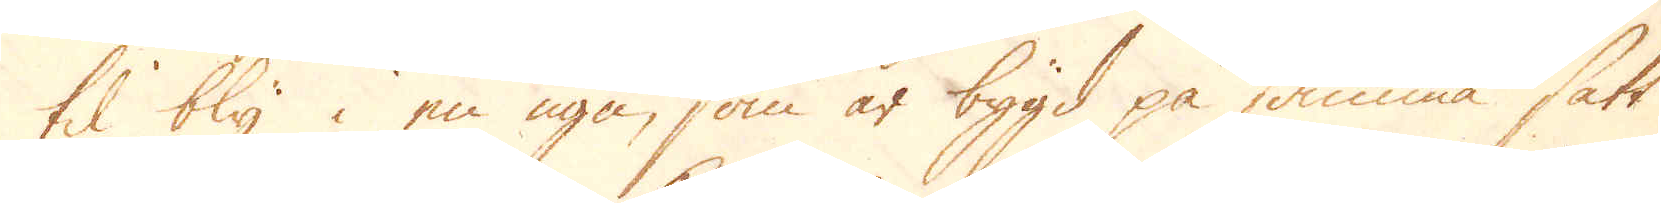til bly i en ugn, som är bygd på samma sätt
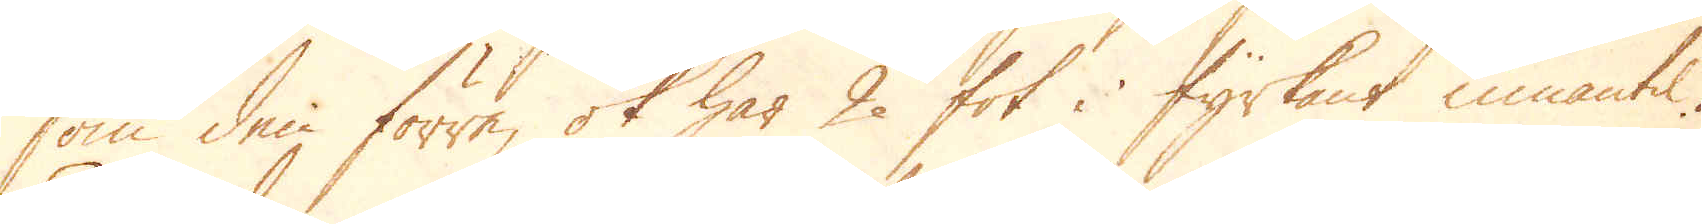som den förre, ok har 2 fot i fyrkant innantil.
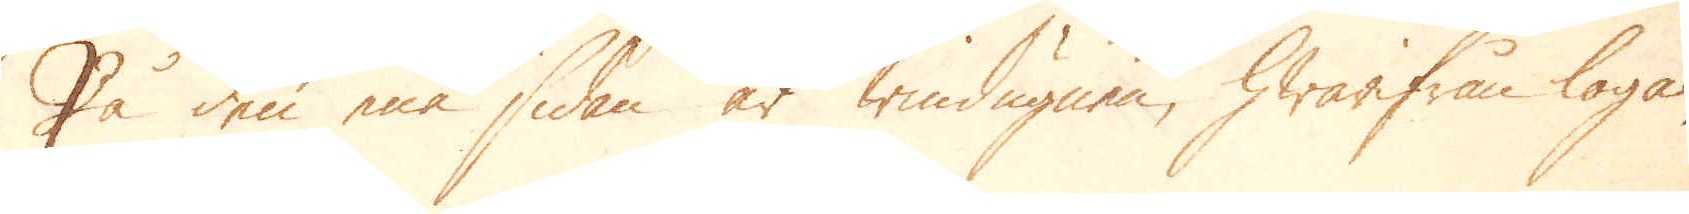På den ena sidan är windugnen, hwarifrån logan
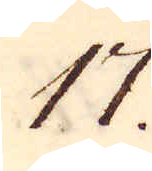17.
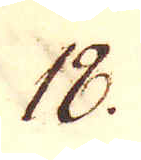18.
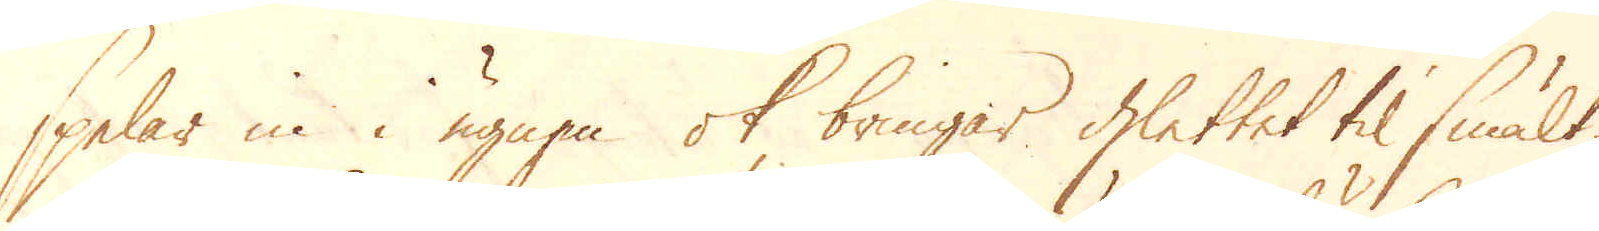spelar in i ugnen ok bringas glettet til smält-
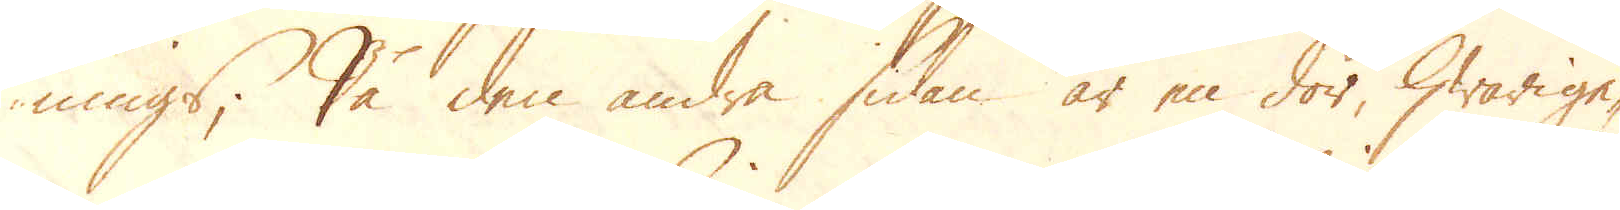nings; På den andra sidan är en dör, hwarige-
